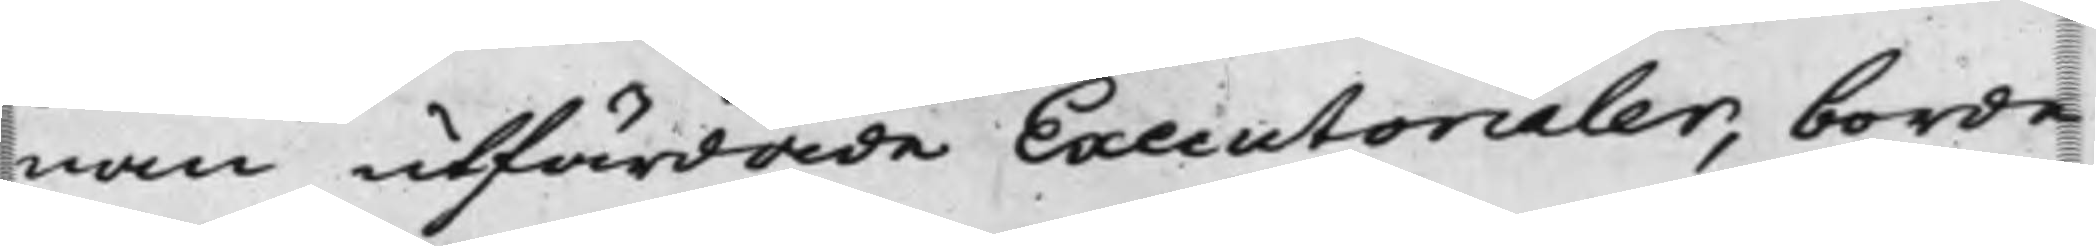nan utfärdade Executorialer, borde
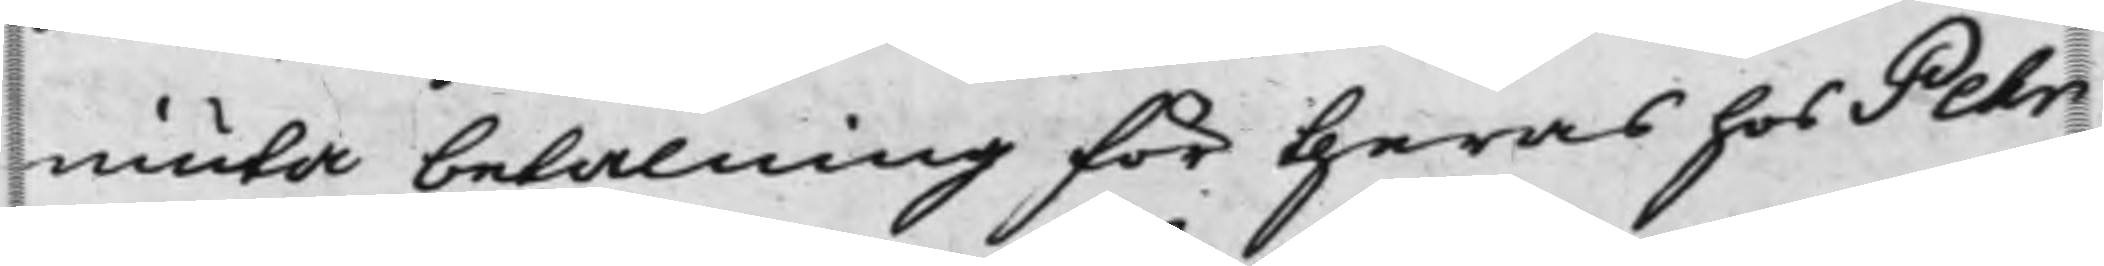niuta betalning för theras hos Pehr
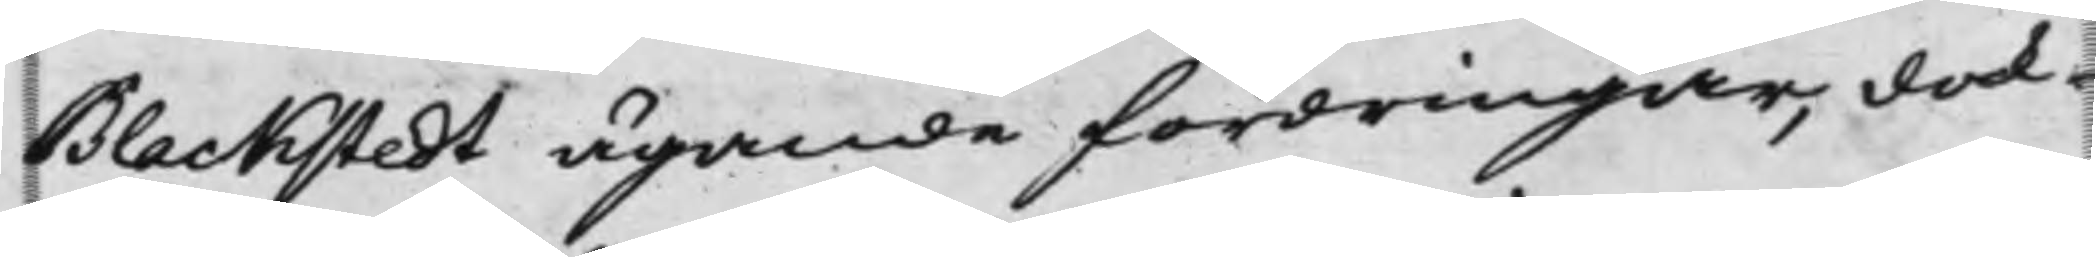Blackstedt ägande fordringar, dock
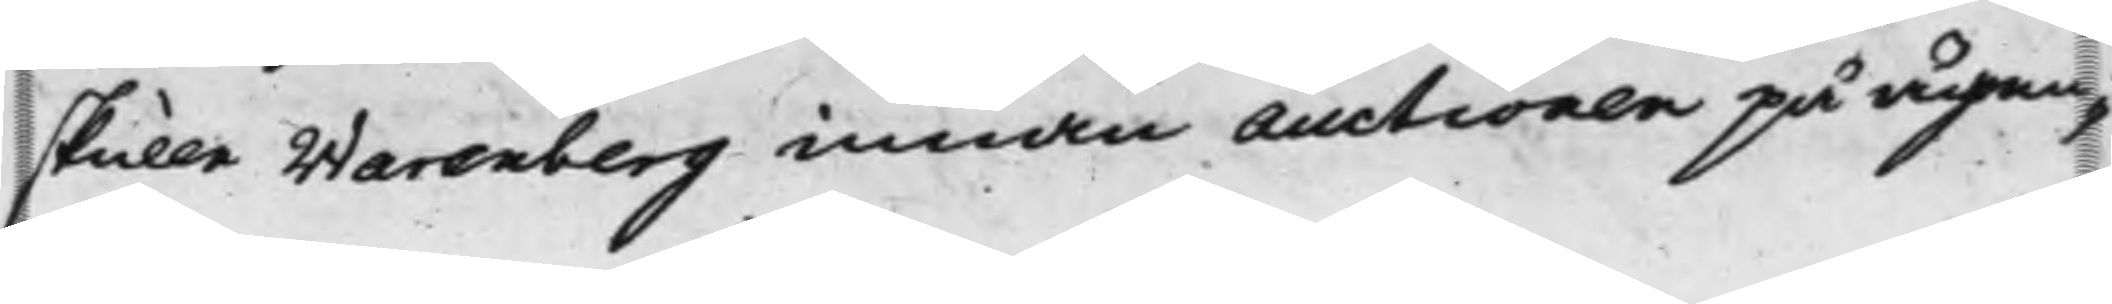skulle Warenberg innan Auctionen på ägen¬
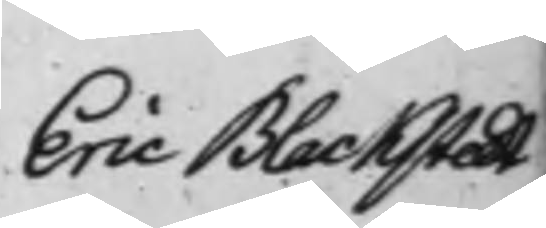Eric Blackstedt
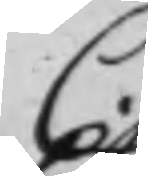C.
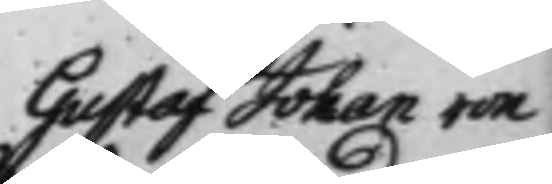Gustaf Johan von
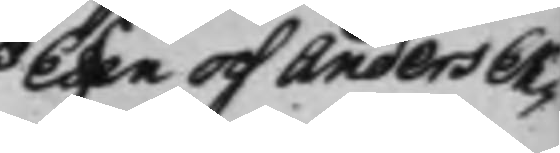Essen och Anders Ek¬
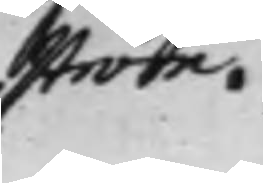ström.
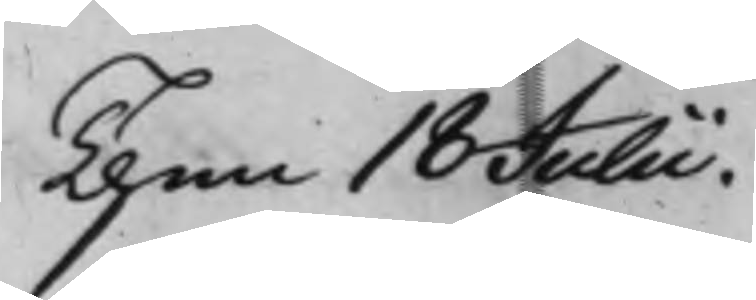Then 18 Julii.
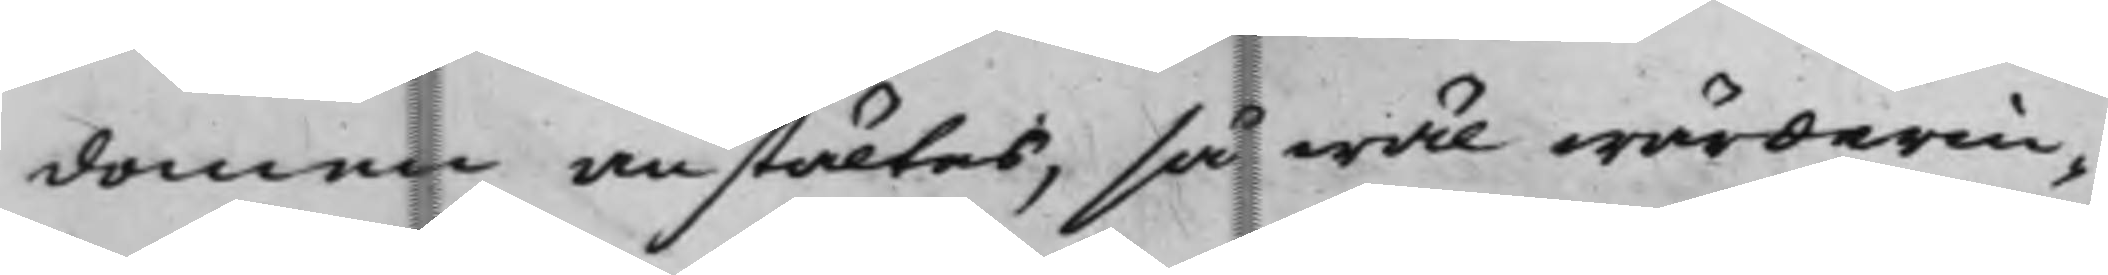domen anstältes, så wäl wärderin¬
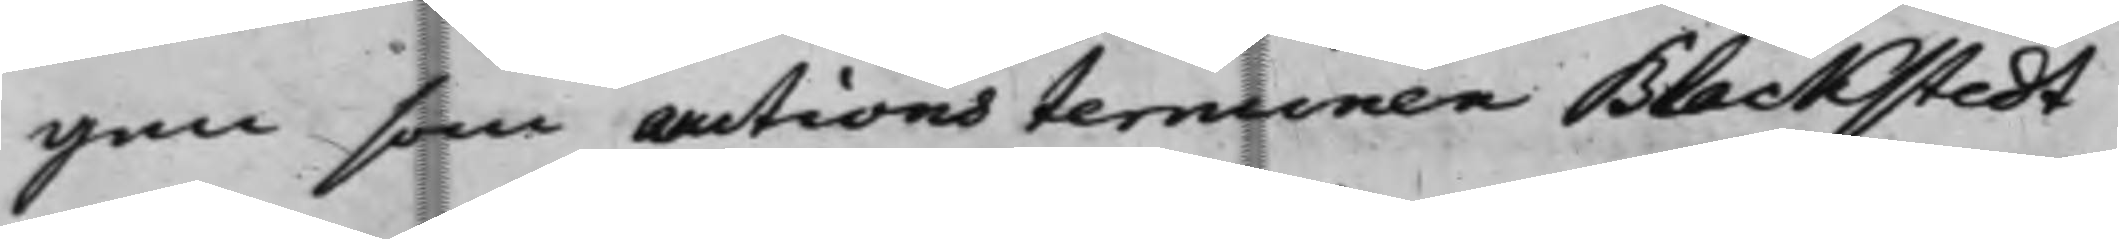gen som auctionsterminen Blackstedt
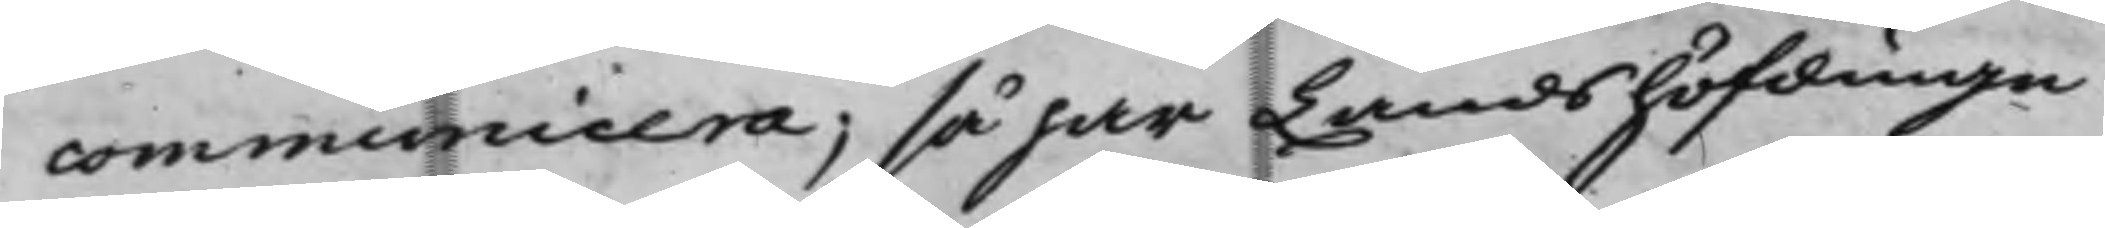communicera, så har Landshöfdinge¬
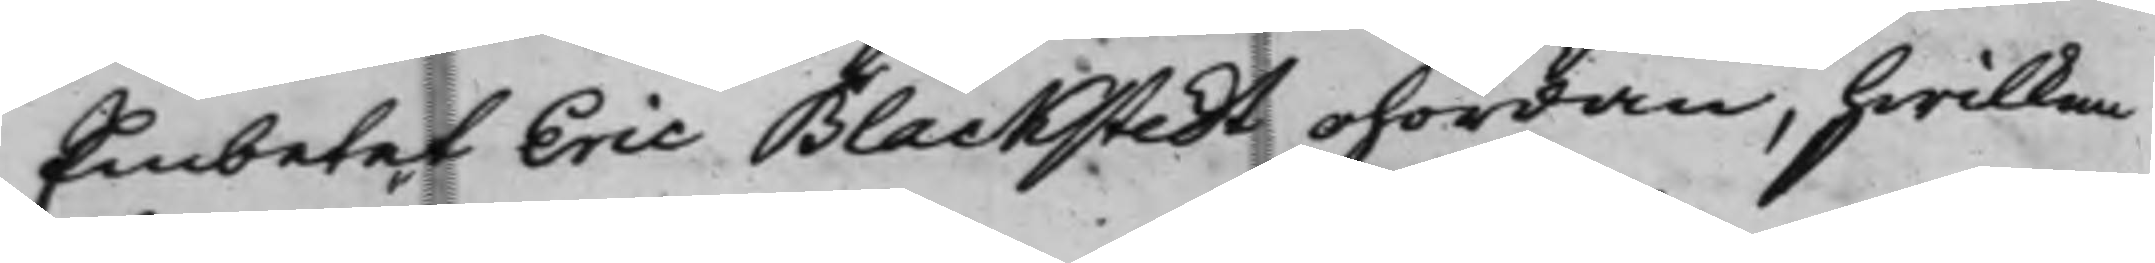Embetet Eric Blackstedt ohördan, hwilken
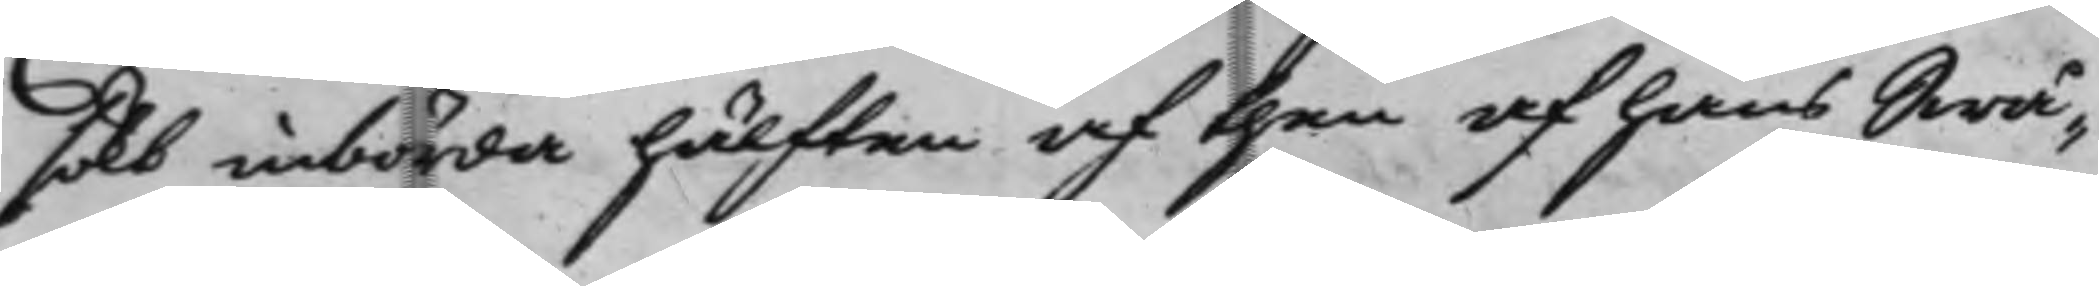sökt inbörda hälften af then af hans Swå¬
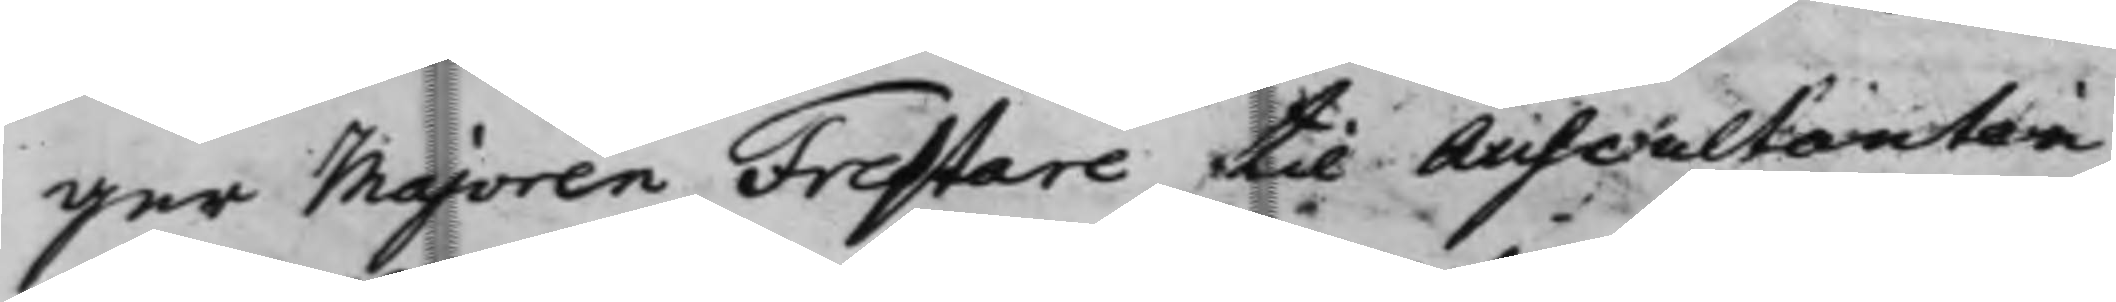ger Majoren Frestare til Auscultanten
